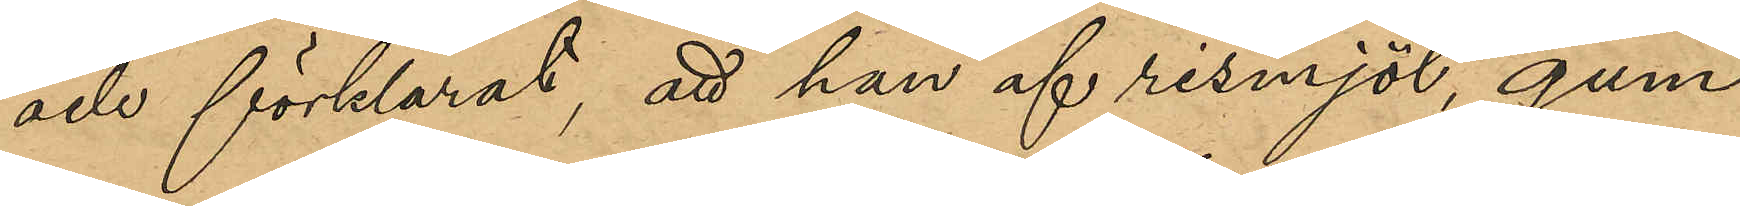och förklarat, att han af rismjöl, gum¬
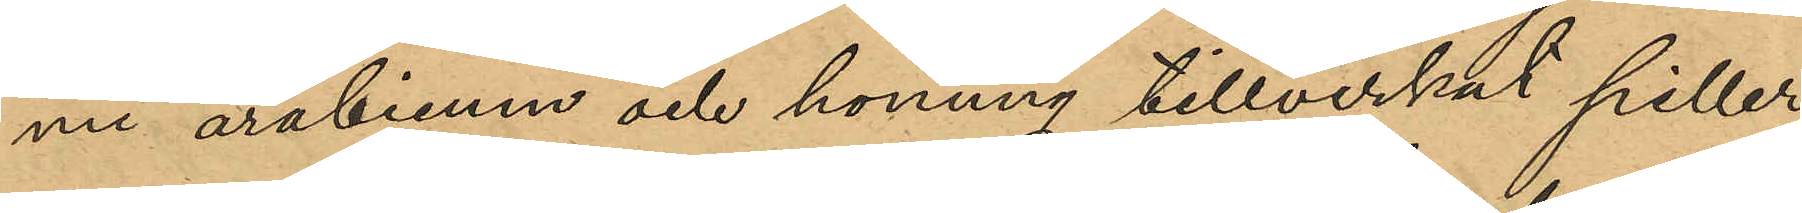mi arabicum och honung tillverkat piller;
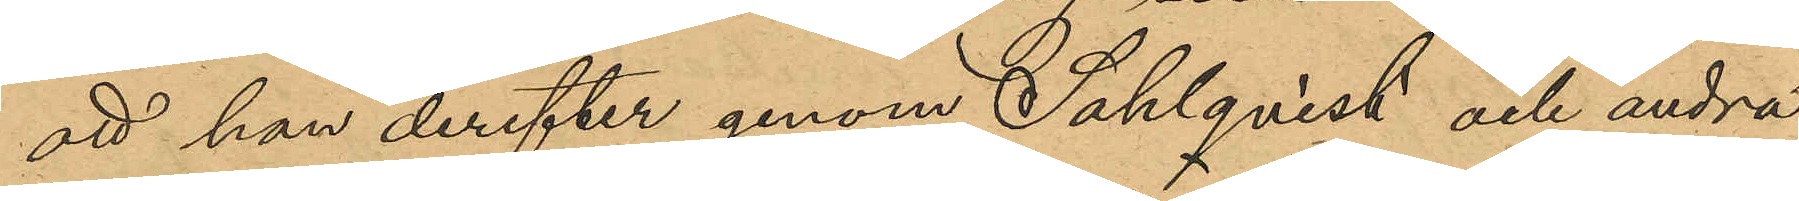att han derefter genom Sahlqvist och andra
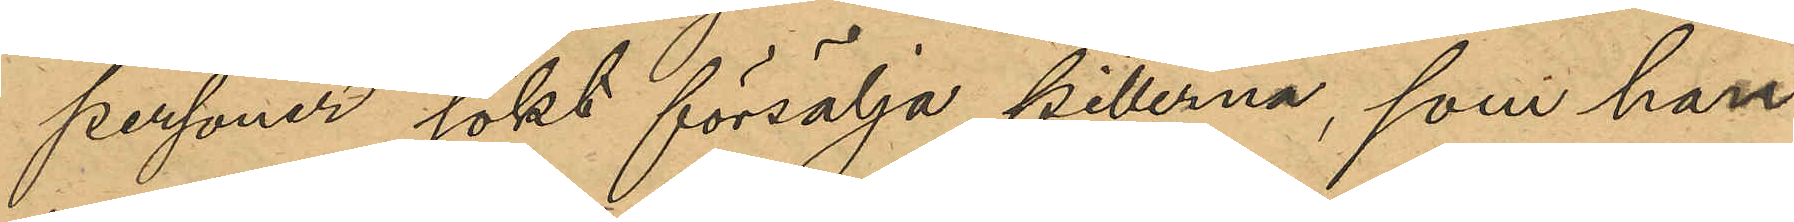personer sökt försälja pillerna, som han
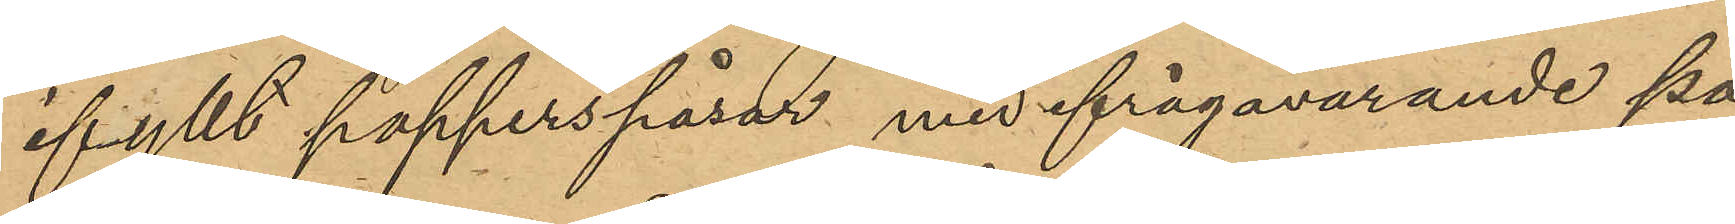ifyllt papperspåsar med ifrågavarande på
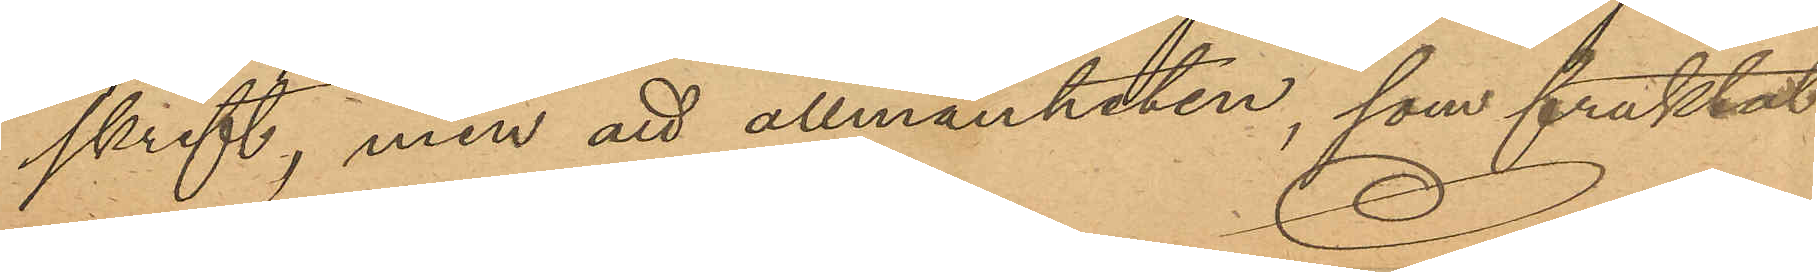skrift, men att allmänheten, som fruktat
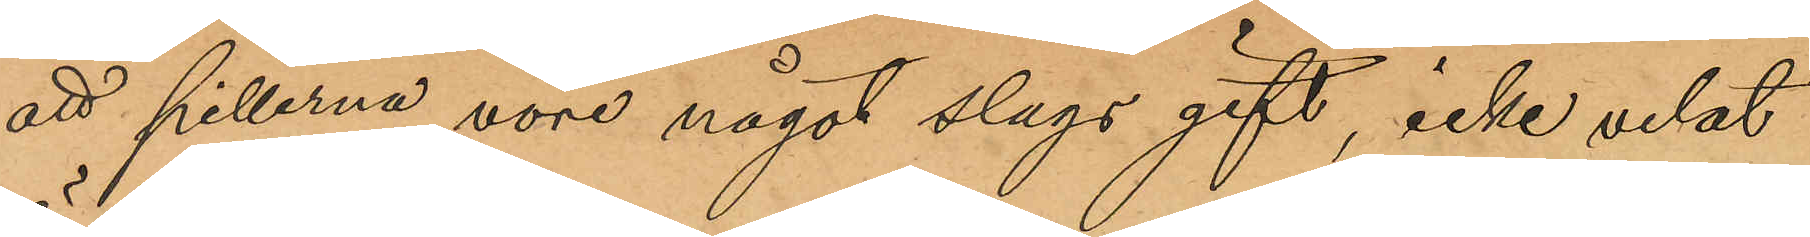att pillerna vore något slags gift, icke velat
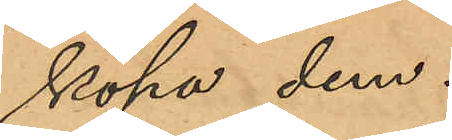köpa dem.
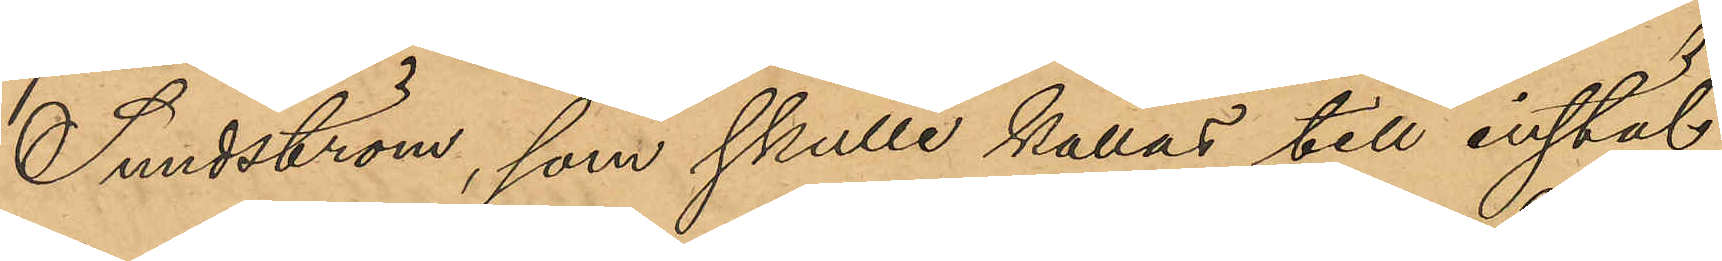Sundström, som skulle kallas till instäl¬
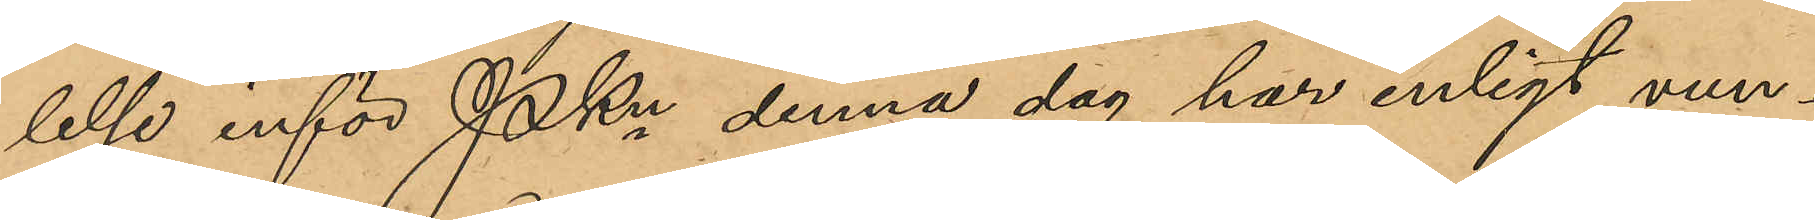lelse inför Pkn denna dag har enligt vun¬
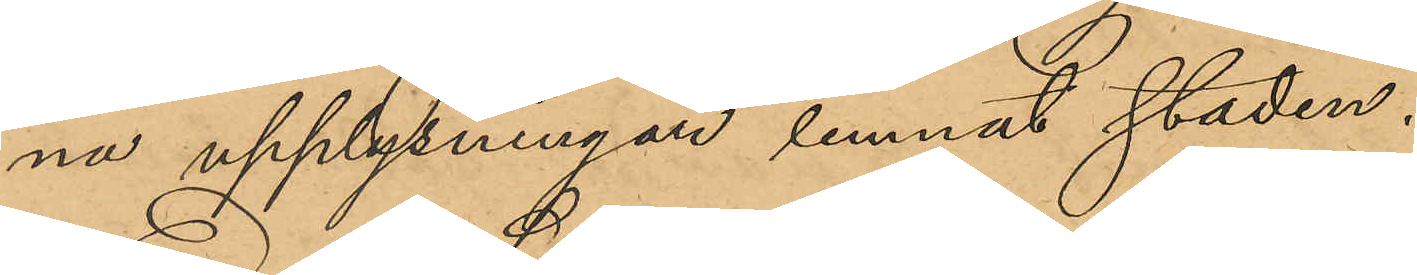na upplysningar lemnat staden.
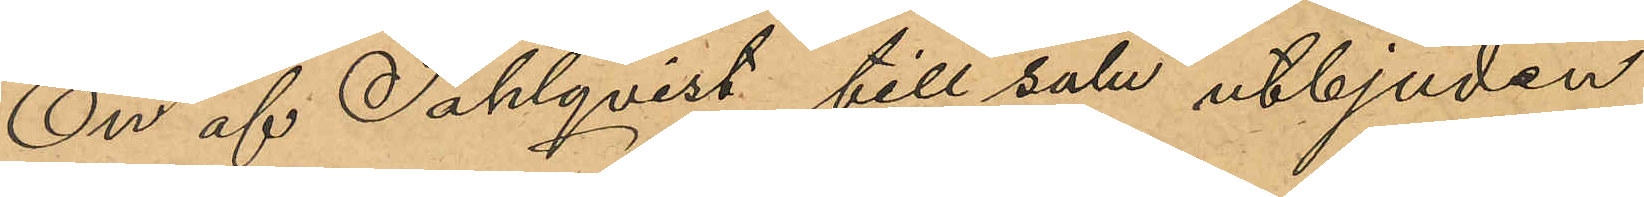En af Sahlqvist till salu utbjuden
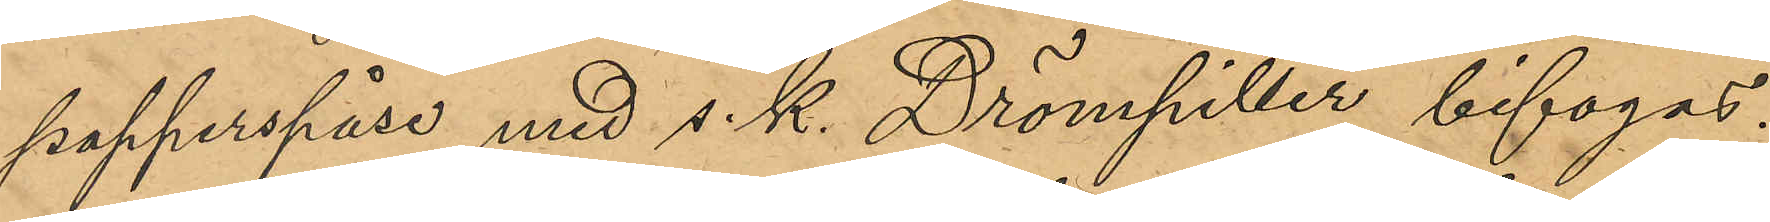papperspåse med s.k. Drömpiller bifogas.
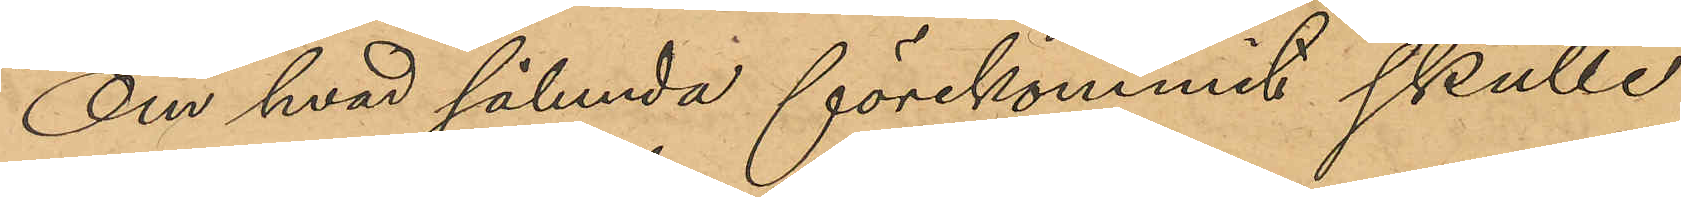Om hvad sålunda förekommit skulle
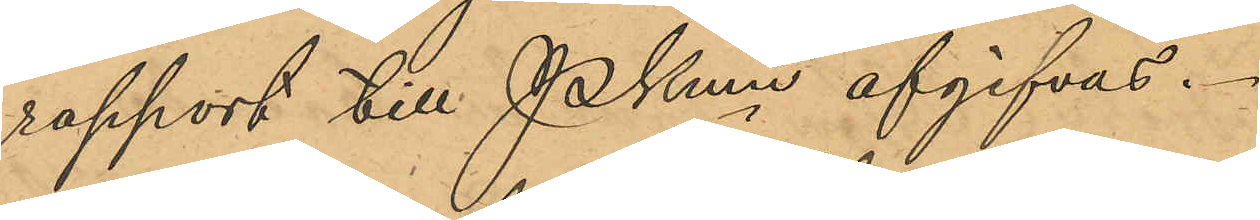rapport till Pkmn afgifvas.
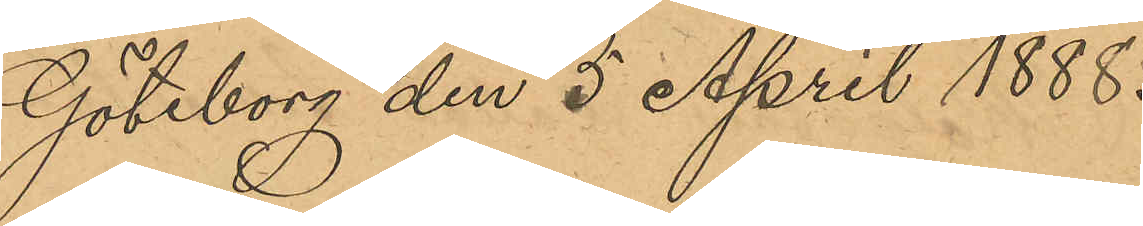Göteborg den 5 April 1888.
